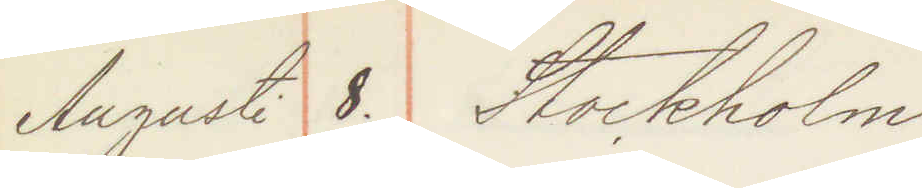Augusti 8. Stockholm
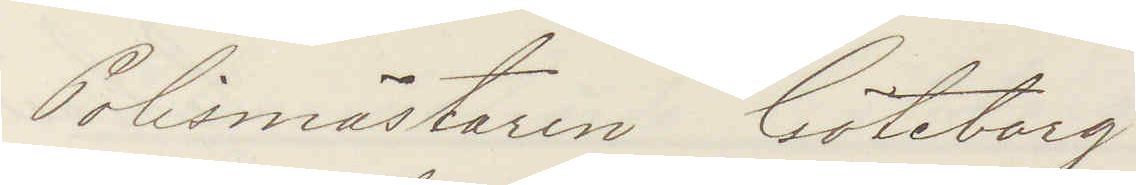Polismästaren Göteborg
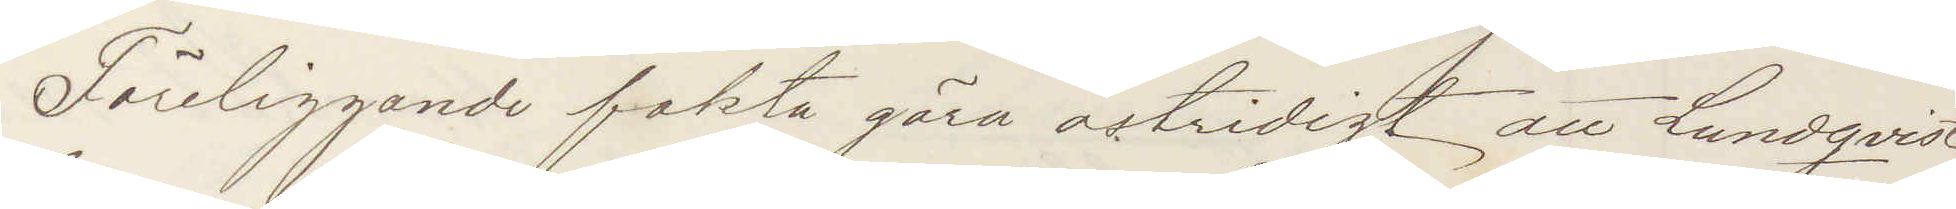Föreliggande fakta göra ostridigt att Lundqvist
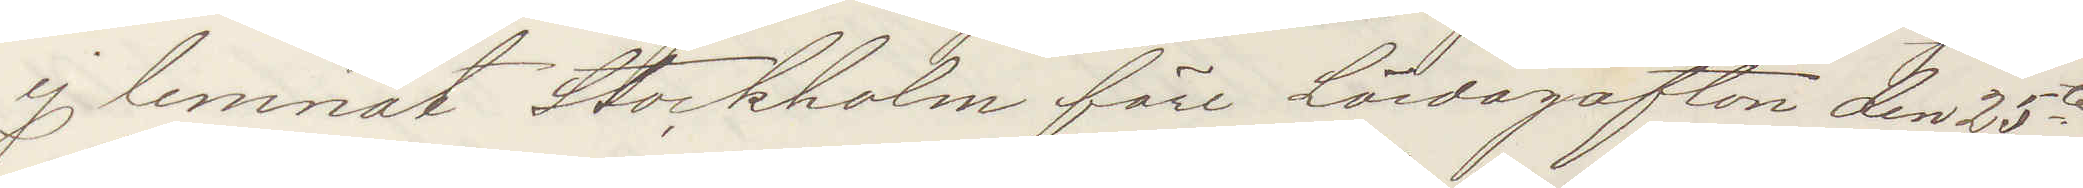ej lemnat Stockholm före Lördagsafton den 25te
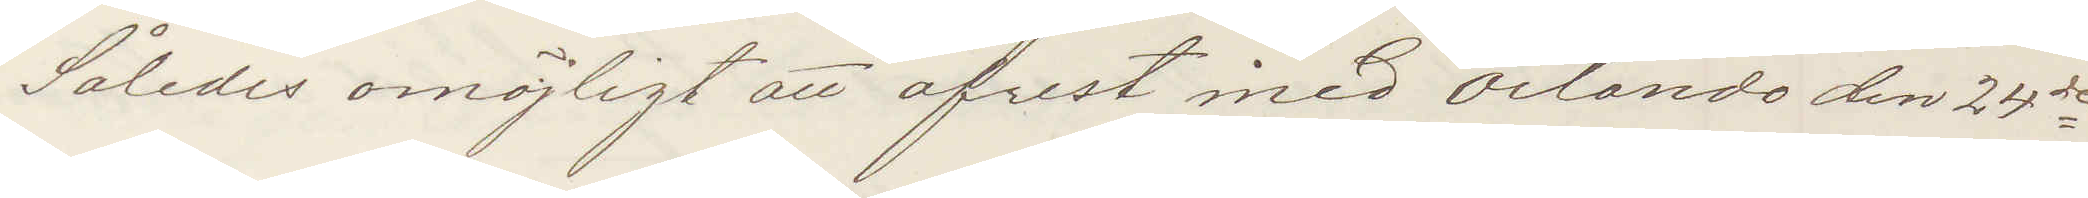Således omöjligt att afrest med Orlando de 24de
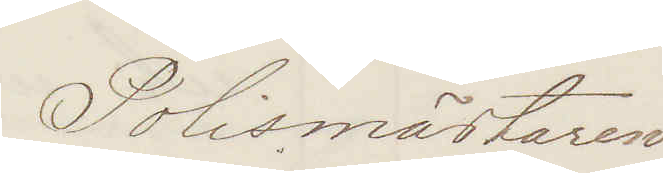Polismästaren
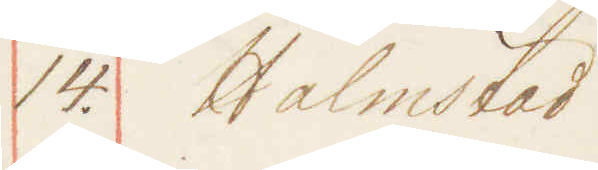14. Halmstad
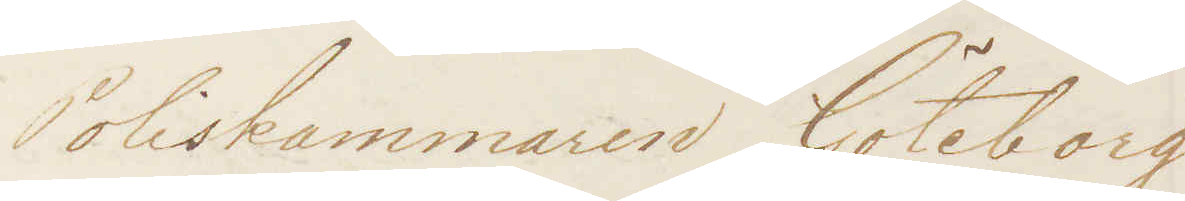Poliskammaren Göteborg
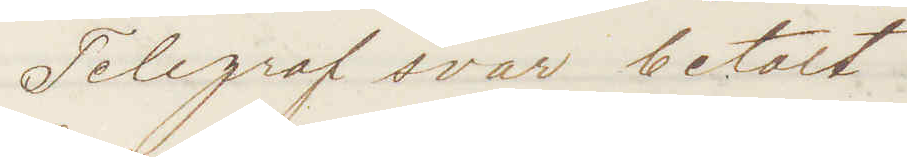Telegraf svar betalt!
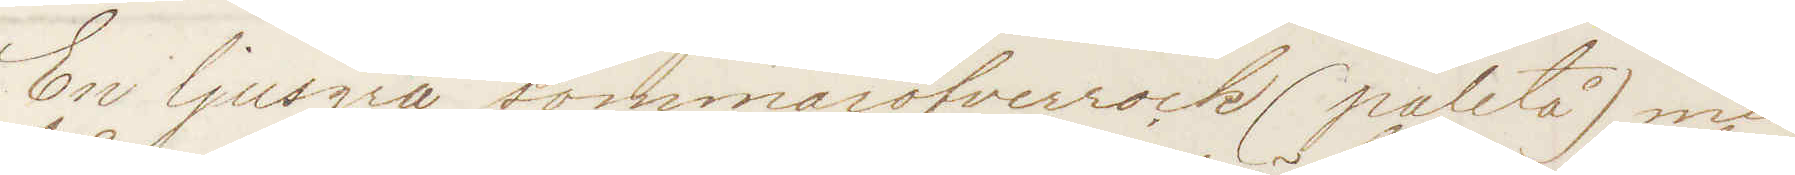En ljusgrå sommaröfverrock (paletå) med
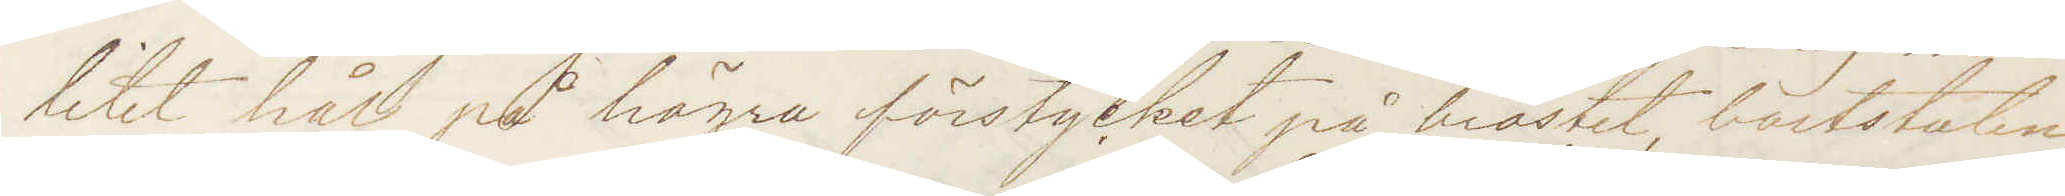litet hål på högra förstycket på bröstet, bortstulen,
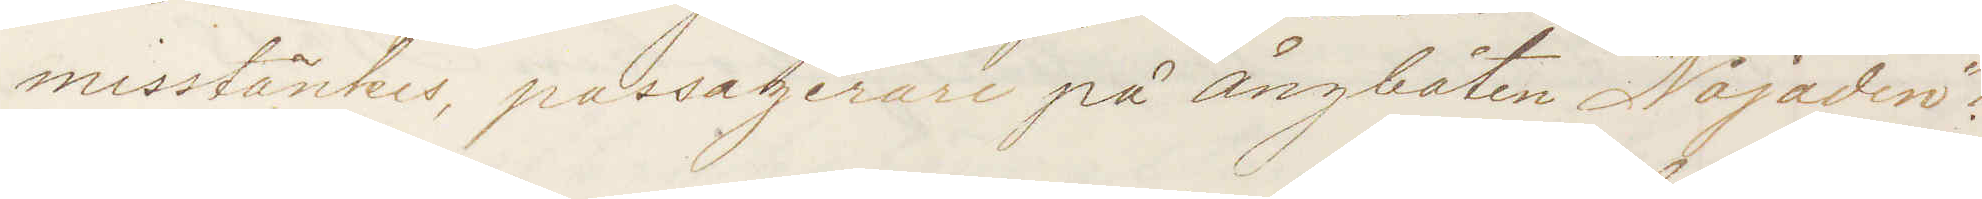misstänkes passagerare på Ångbåten "Najaden"!
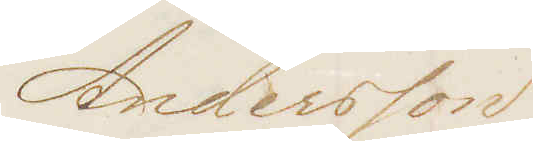Andersson
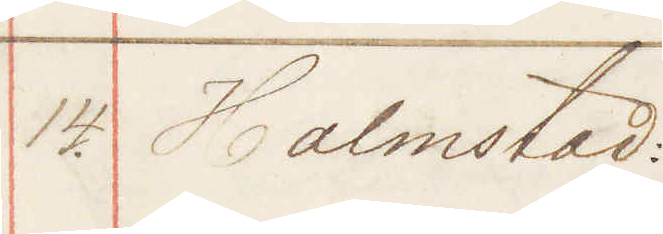14. Halmstad
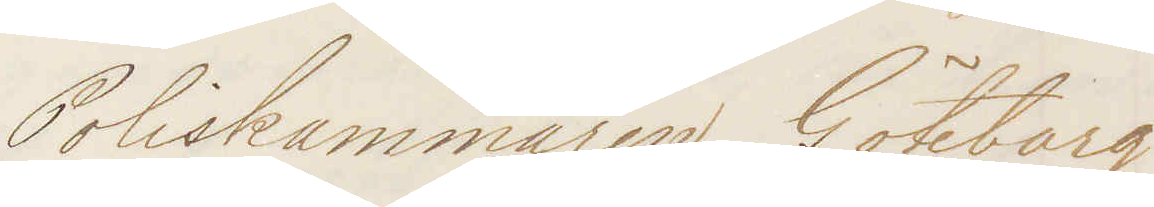Poliskammaren Göteborg
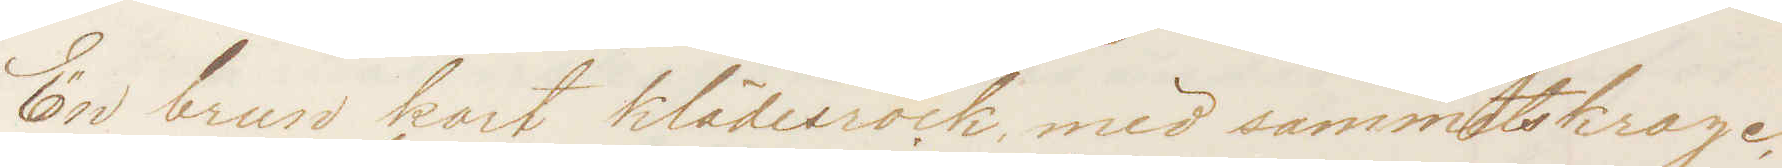En brun kort klädesrock med sammetskrage
